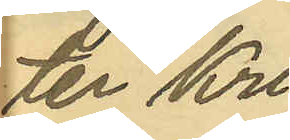ter Kri¬
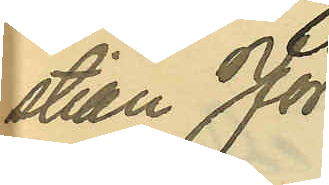stian Jör¬
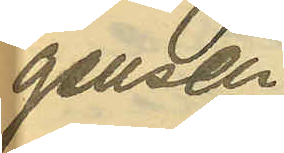gensen-
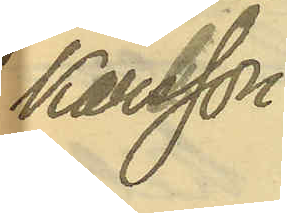Karlsson.
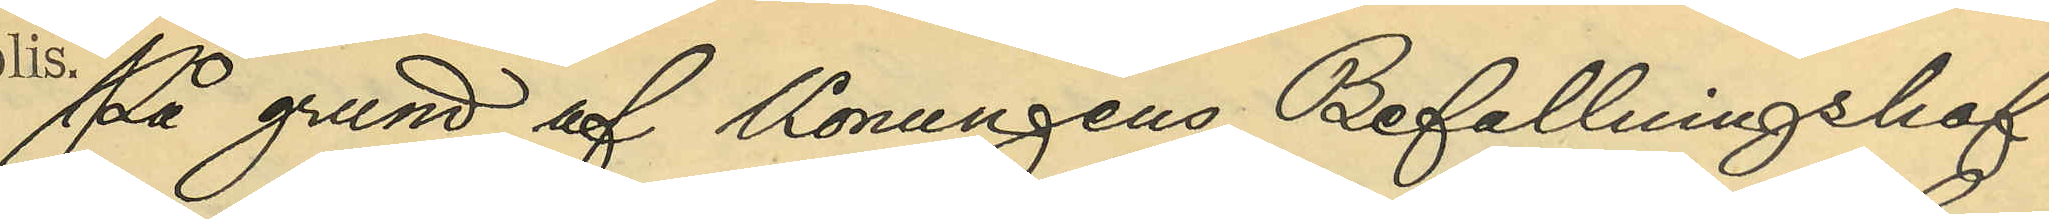På grund af Konungens Befallningshaf¬
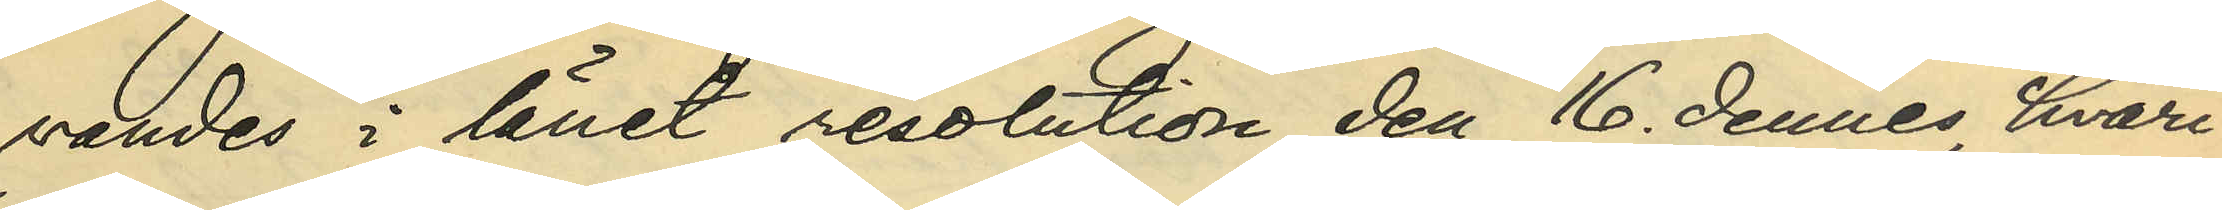vandes i länet resolution den 16 dennes, hvari¬
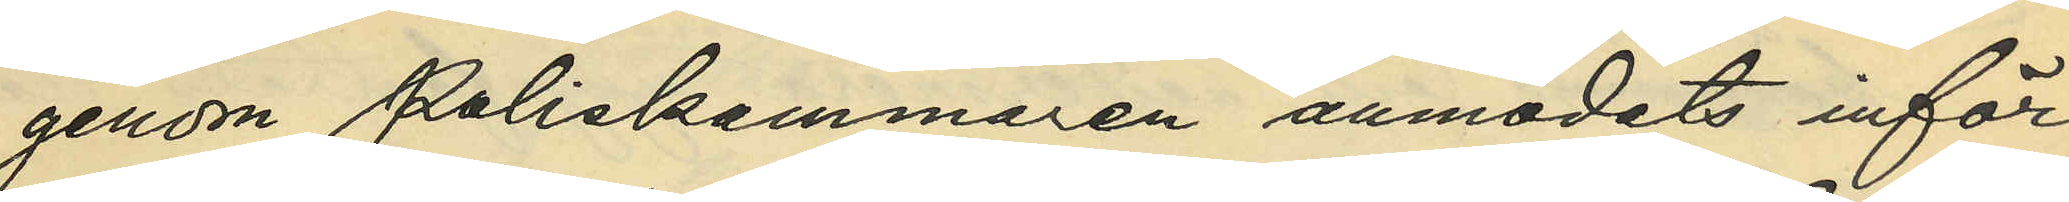genom Poliskammaren anmodats inför¬
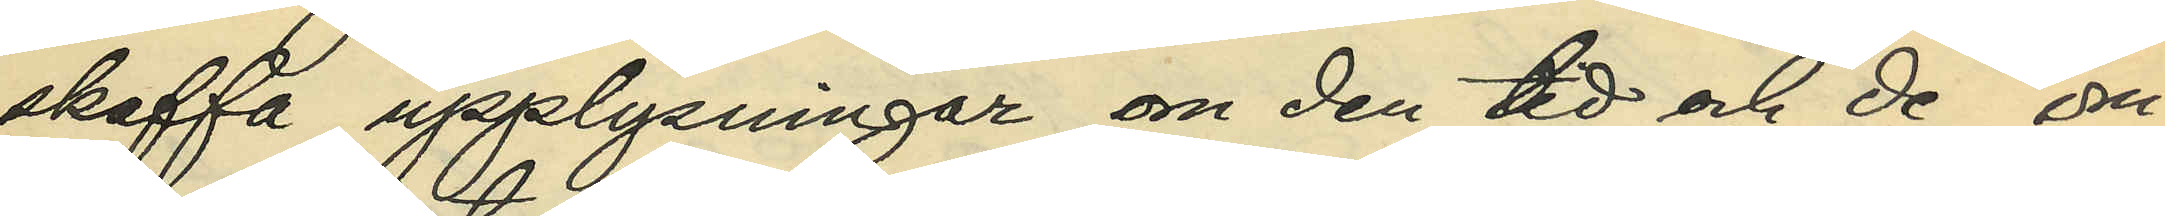skaffa upplysningar om den tid och de om¬
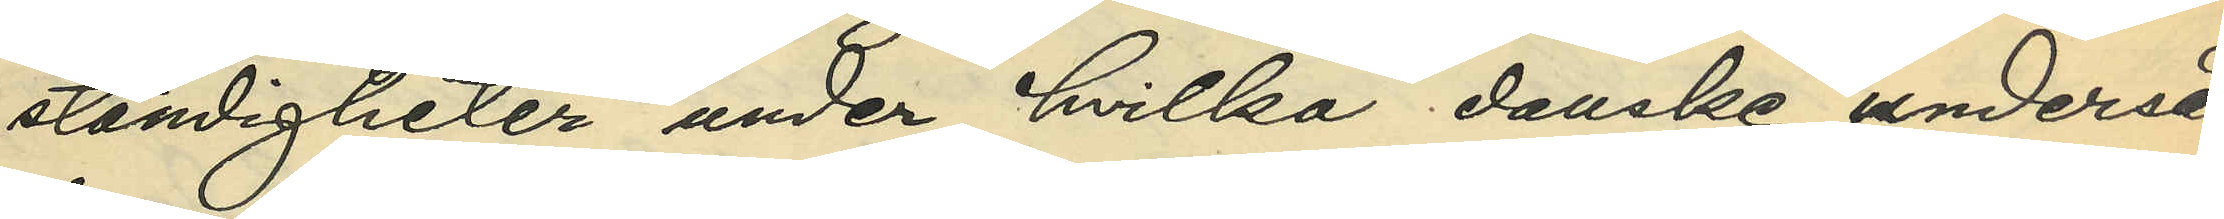ständigheter under hvilka danske underså¬
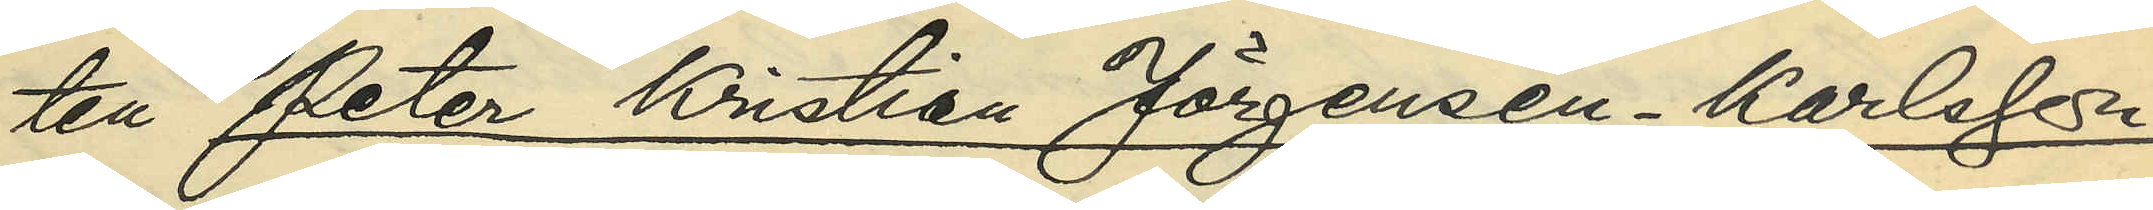ten Peter Kristian Jörgensen - Karlsson
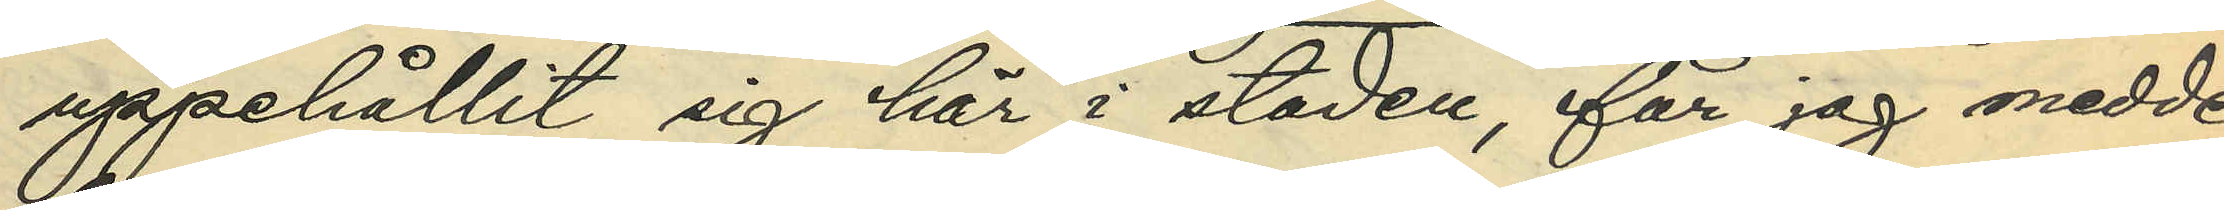uppehållit sig här i staden, får jag medde¬
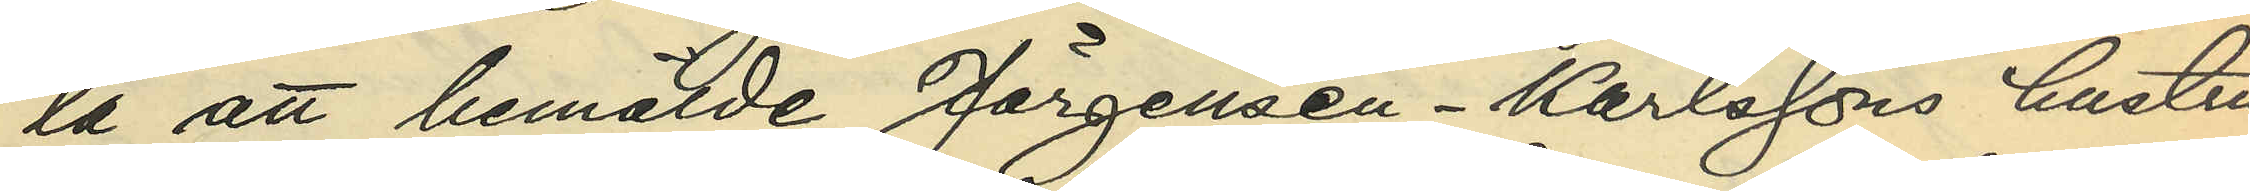la att bemälde Jörgensen - Karlssons hustru
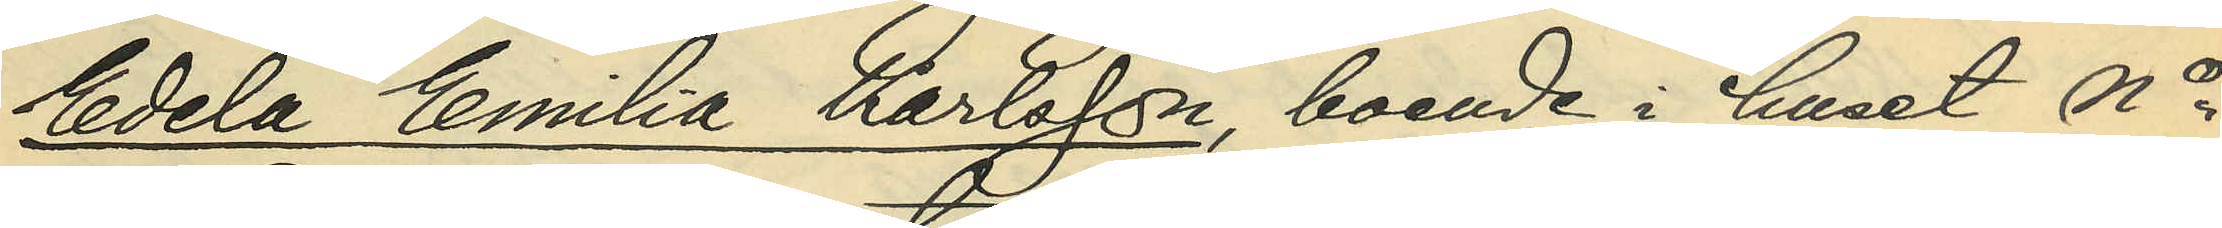Edela Emilia Karlsson, boende i huset No
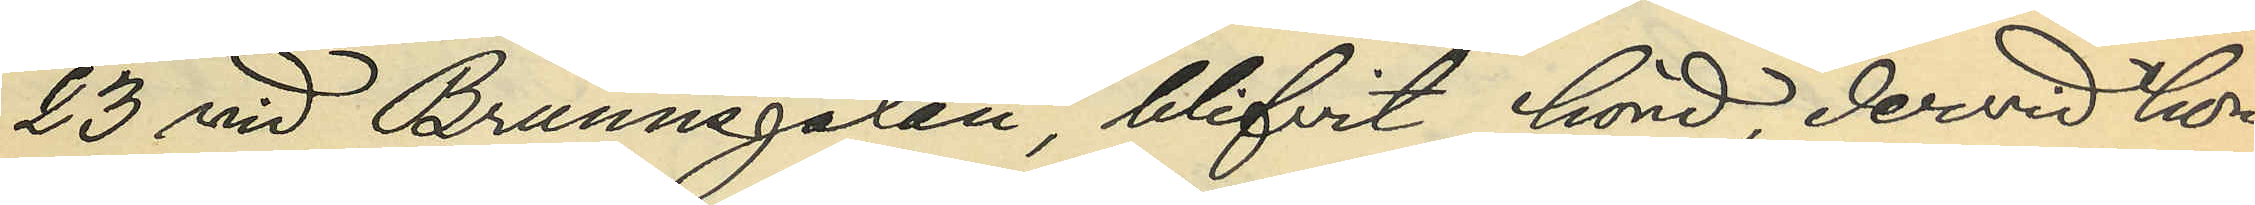23 vid Brunnsgatan, blifvit hörd, dervid hon
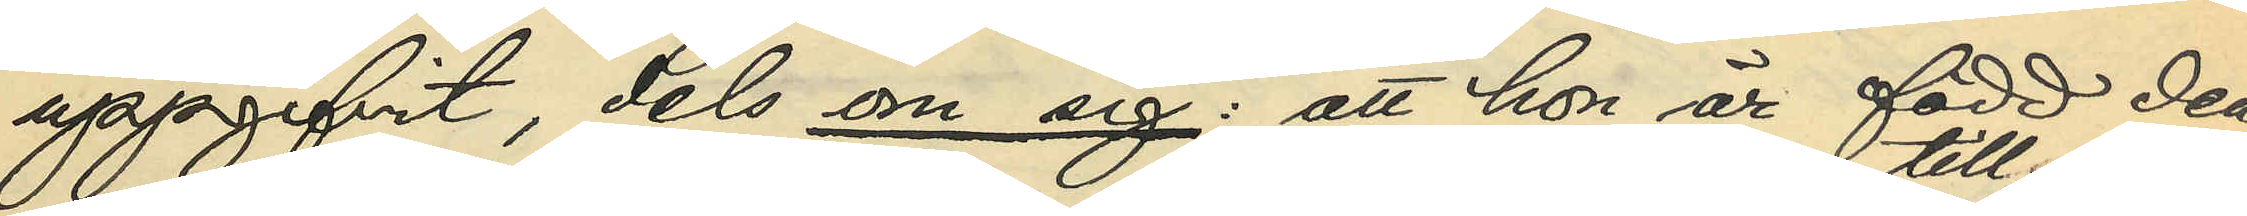uppgifvit, dels om sig: att hon är född den
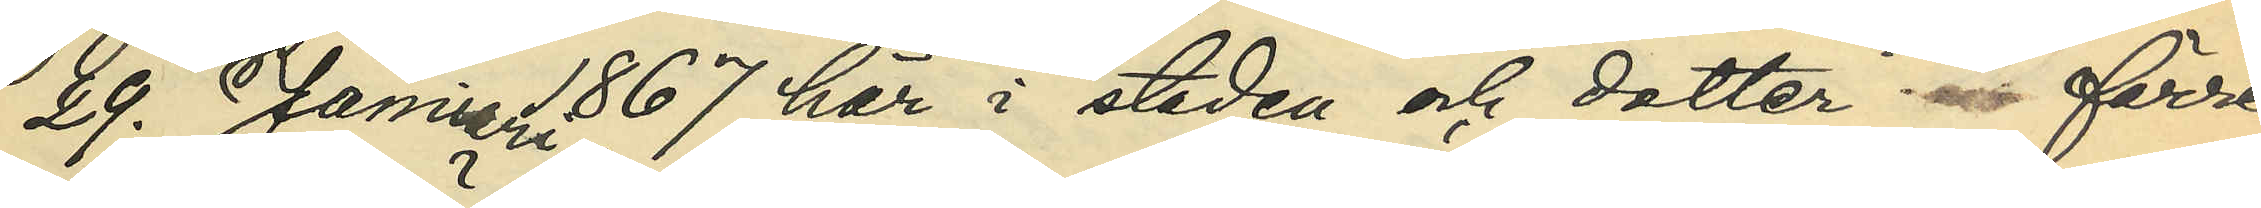29. Januari 1867 här i staden och dotter till förre
